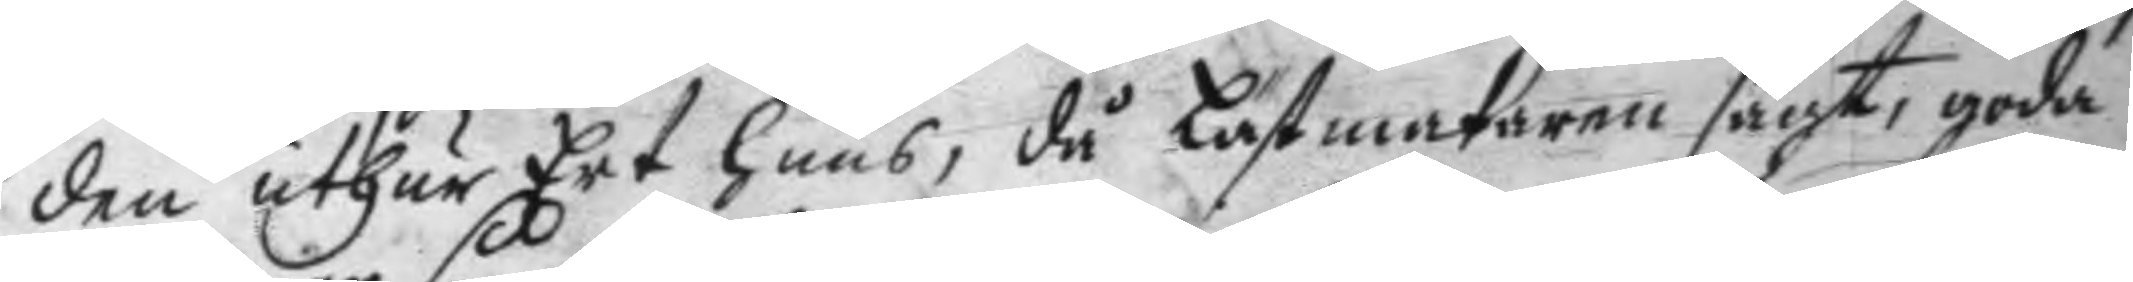den uthur Ert huus, då Lästmakaren sagt, goda
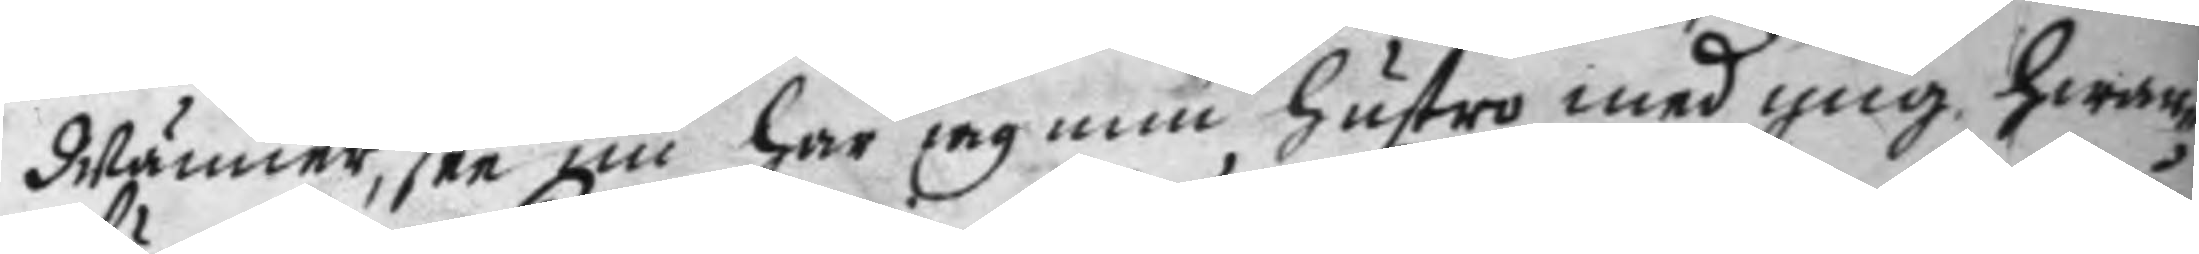Männer, see nu har jag min hustru med mig, hwar¬
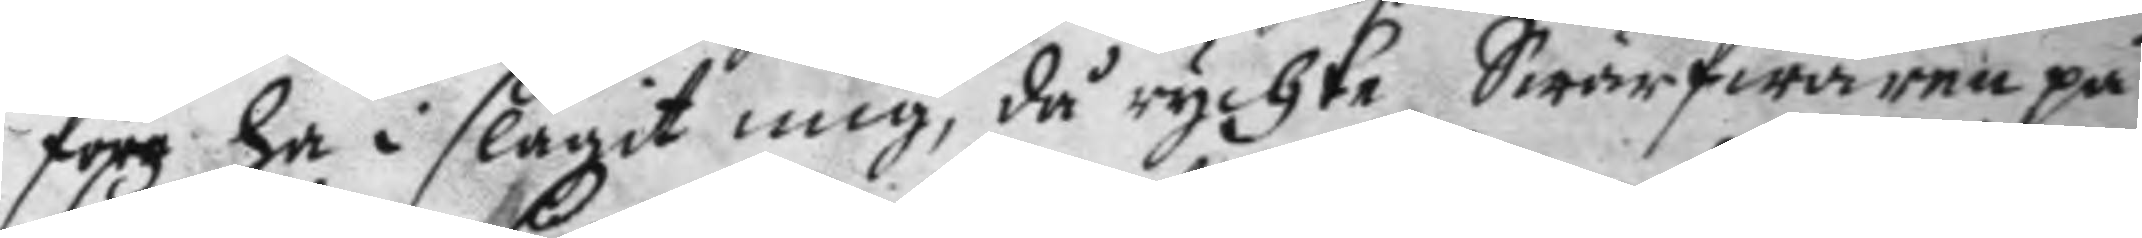före ha i slagit mig, då rychte Swärfwaren på
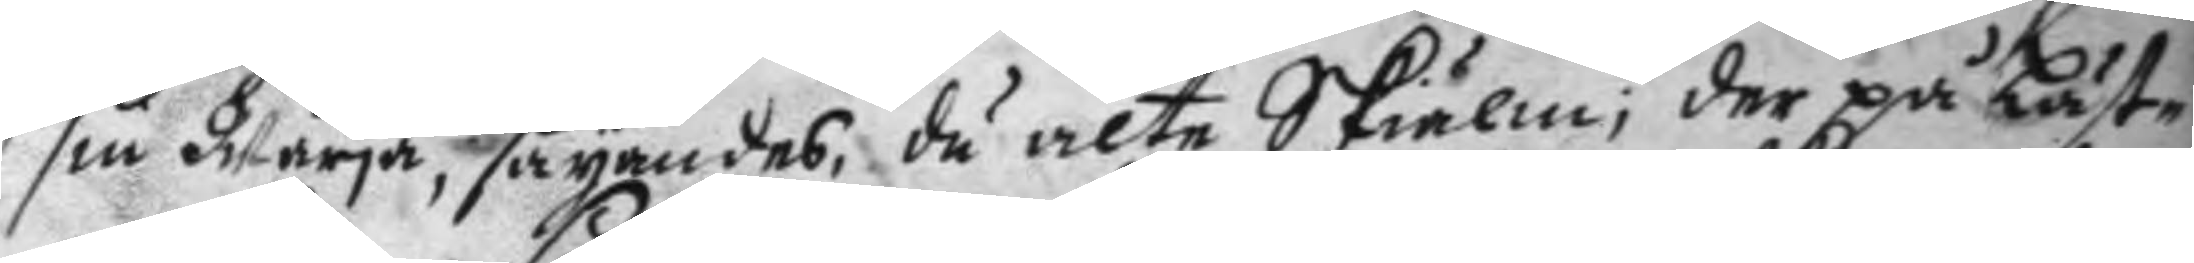sin Wärja, säyandes, du alte Skiälm; der på Läst¬
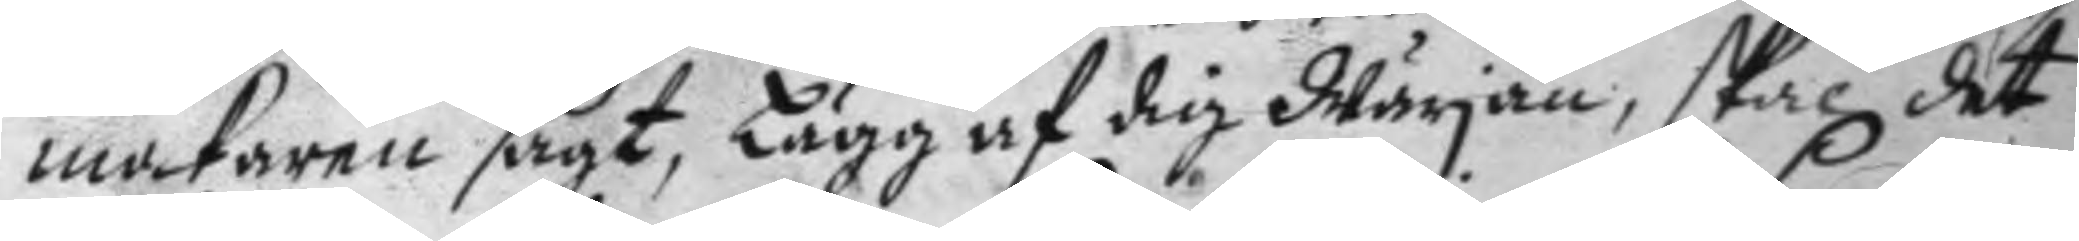makaren sagt, Lägg af dig Wärjan, skal det
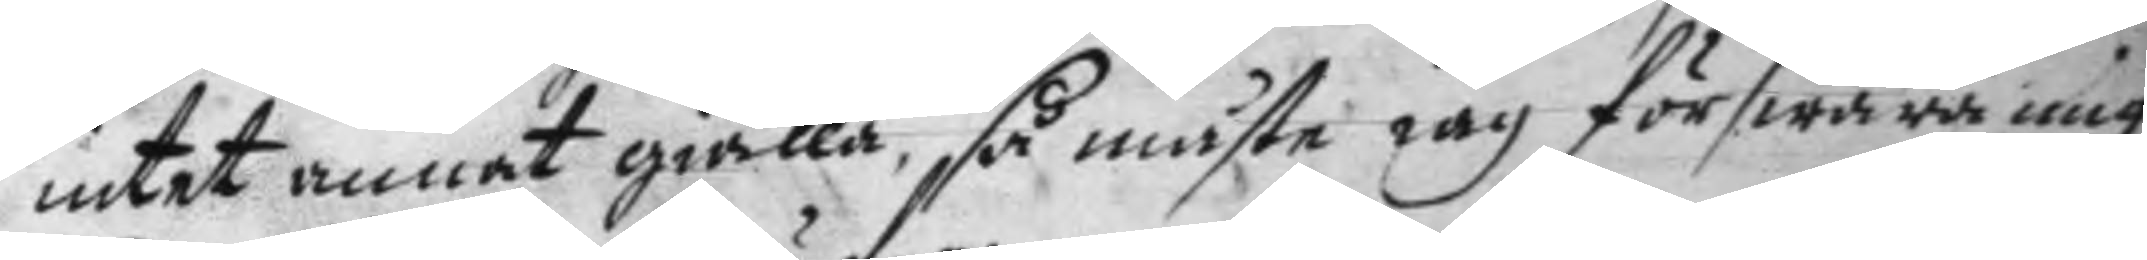intet annat giälla, så måste iag förswara mig
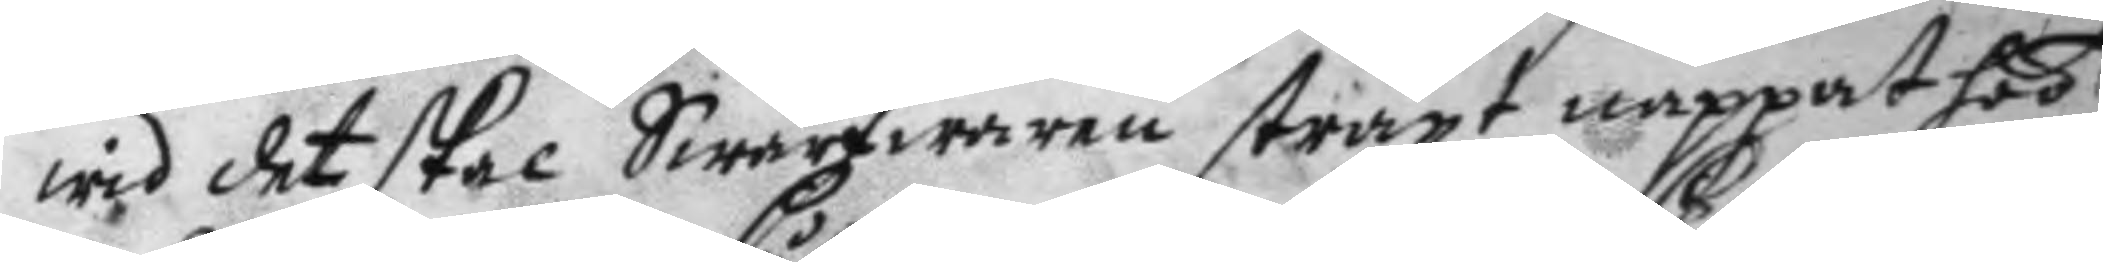wid det skal Swärfwaren straxt nappat hos
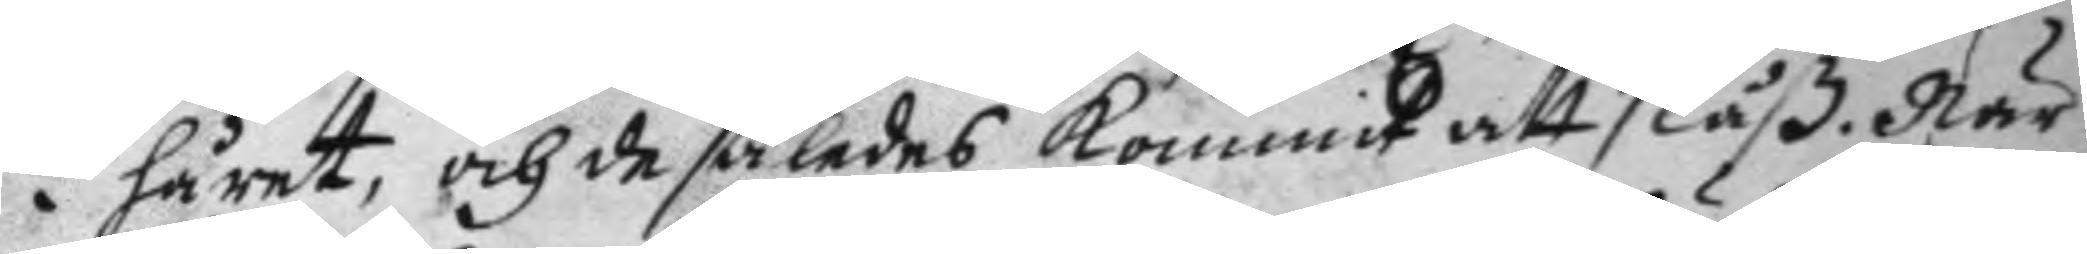i håret och de således kommit att slåß. När
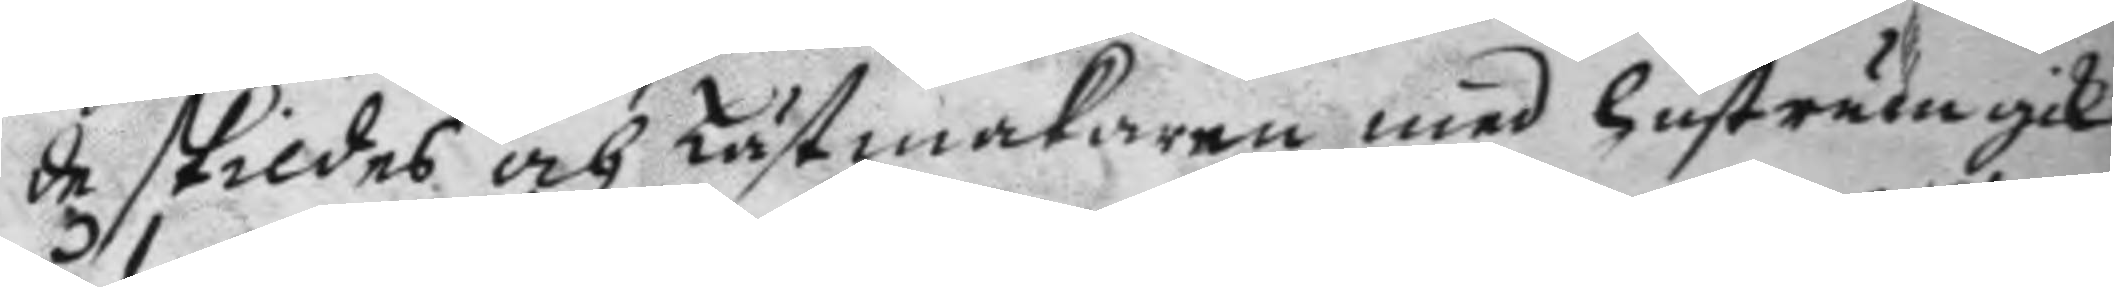de skildes och Lästmakaren med hustrun gick
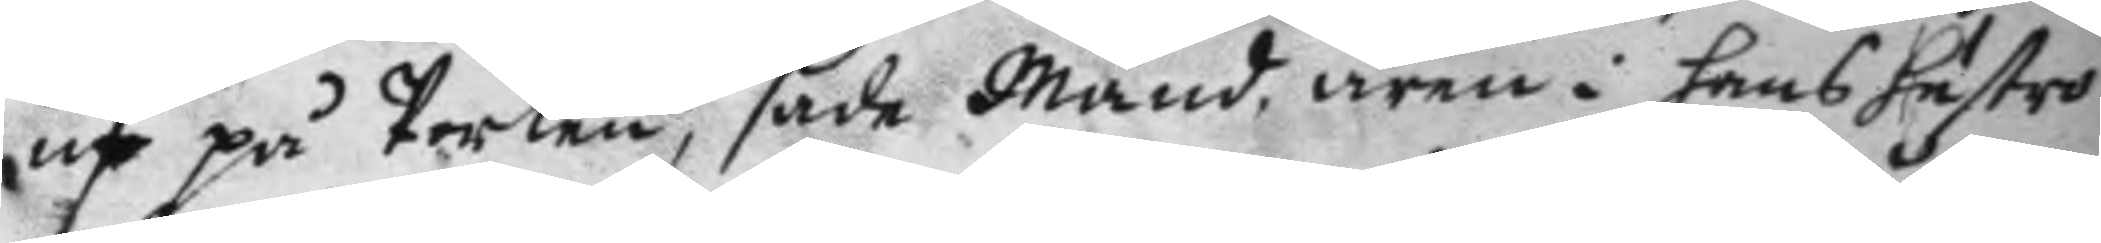ut på Porten, sade Mand, ären i hans hustro
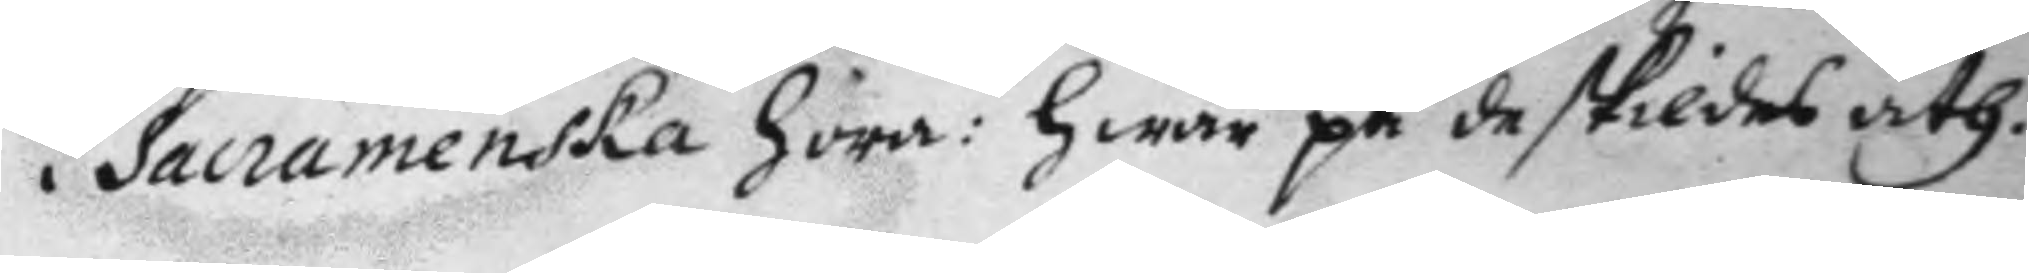i Sacramenska hora: hwar på de skildes åth.
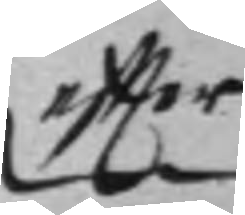eftter 
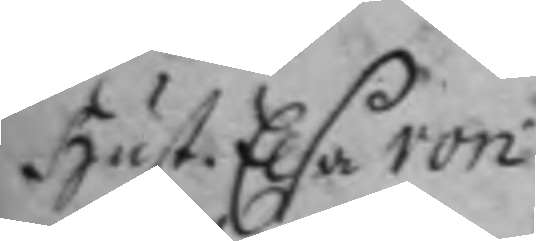Hust. Elsa von
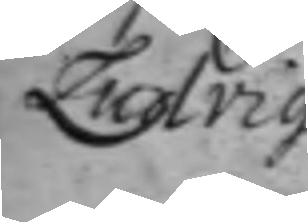Ludvig
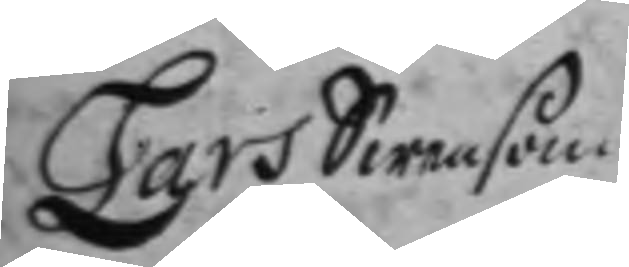Lars Swenson
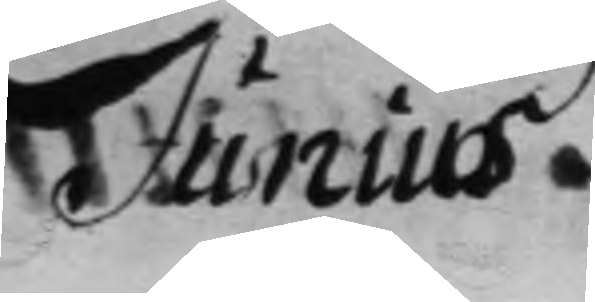Junius
